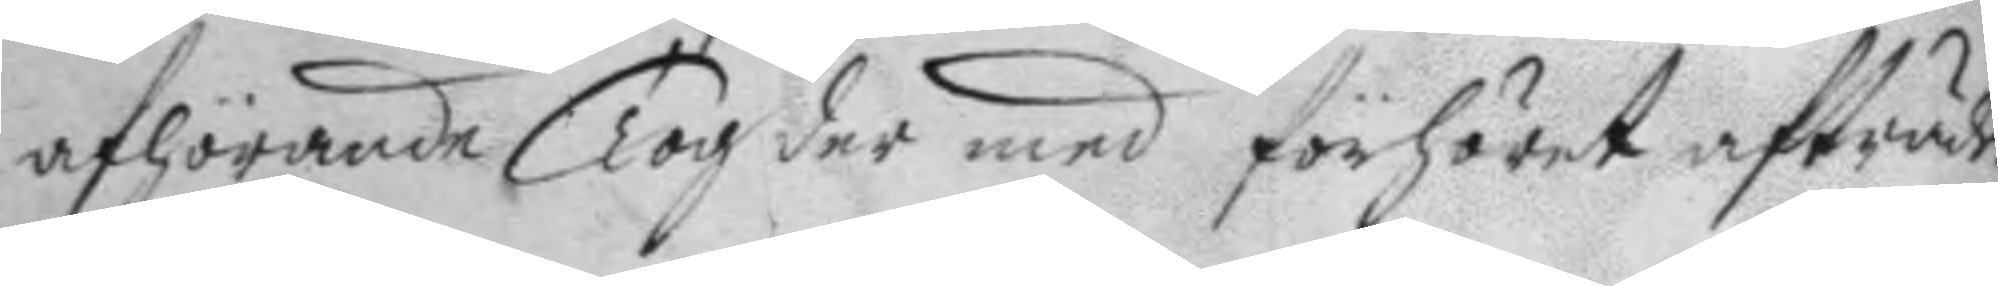afhörande, Tog der med förhöret afträde.
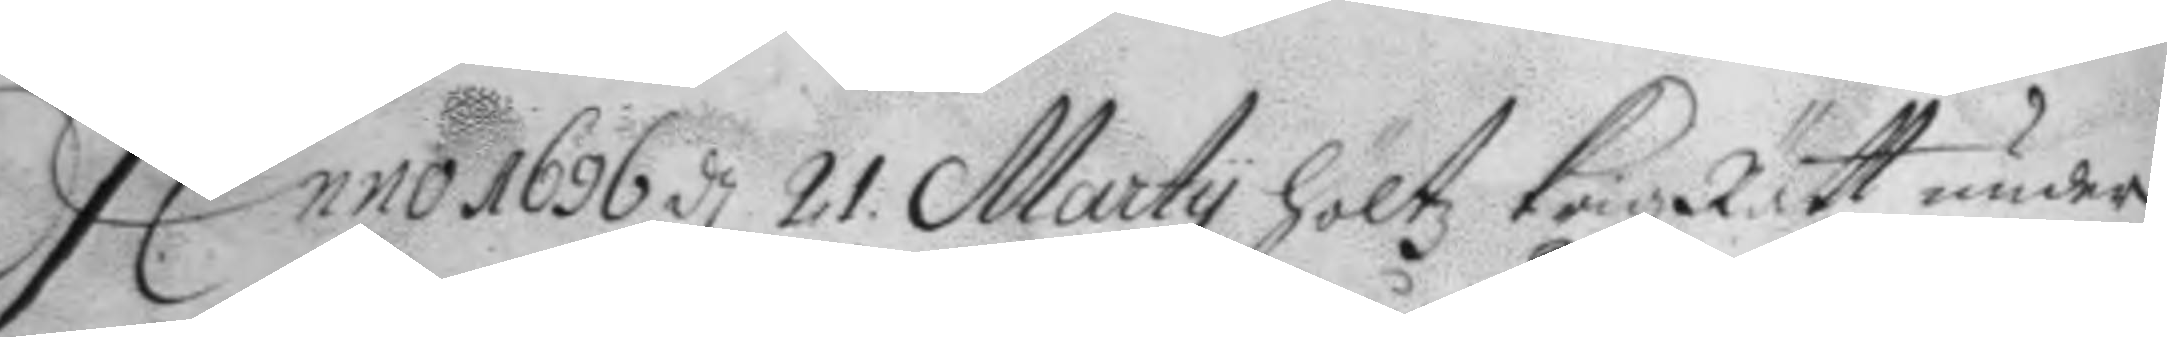Anno 1696 d 21 Marty höltz KrigzRätt under
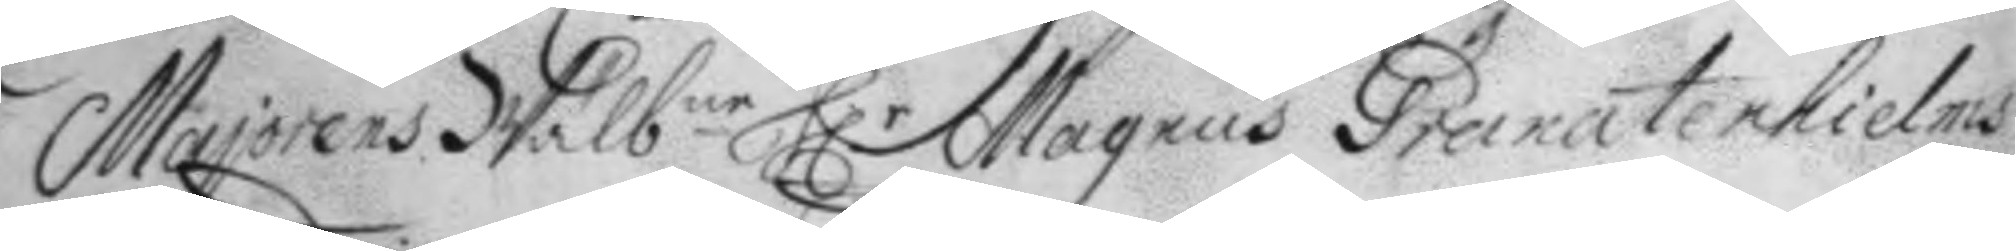Majorens Wälb.ne H.r Magnus Granatenhielms
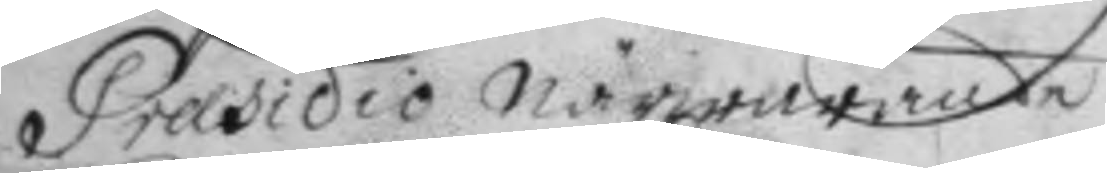Præsidio närwarande
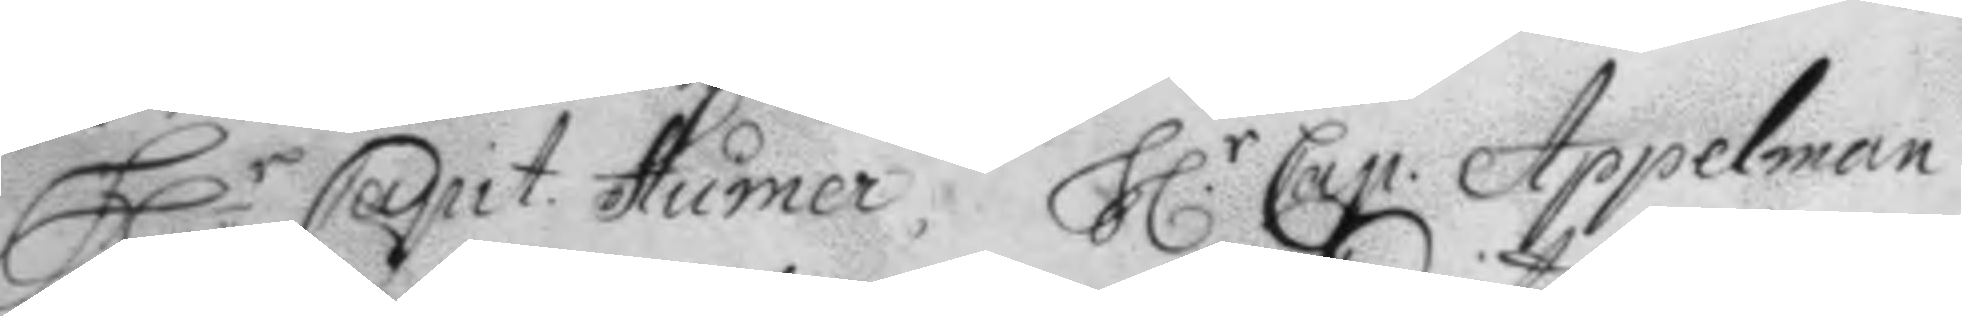H.r Capit. Humer, H.r Cap. Appelman
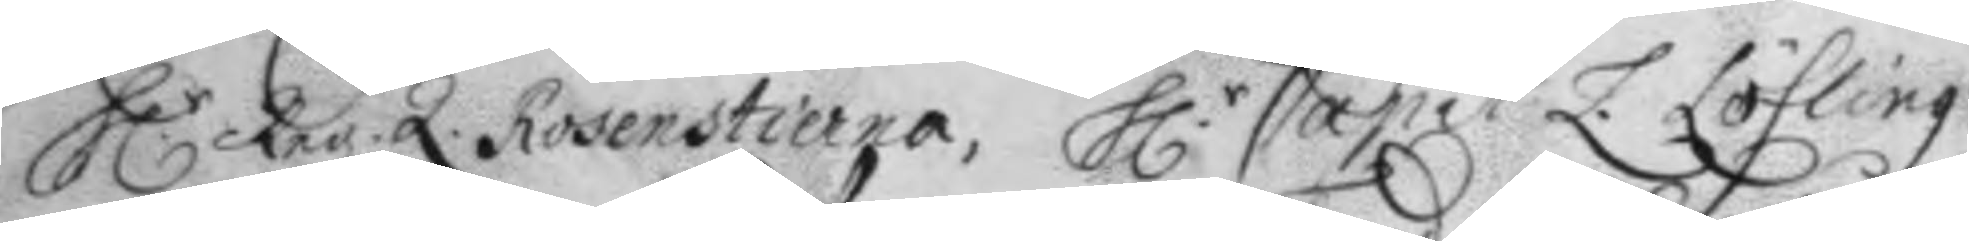H.r Reg.Q. Rosenstierna, H.r Capit. Z. Löfling
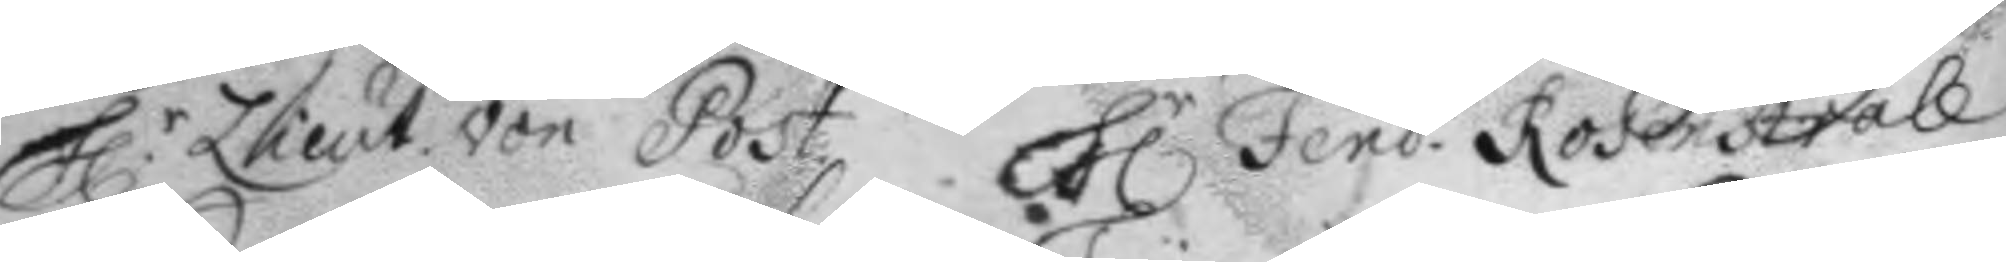H.r Lieut. von Post H.r Fend. Rosenstråle
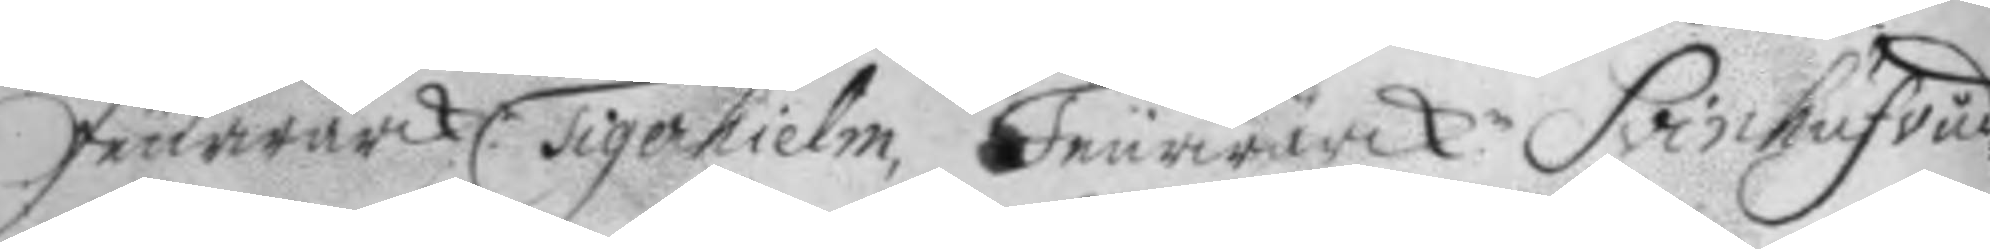feurwärk: Tigenhilem, Feurwärck.n Svinhufvud
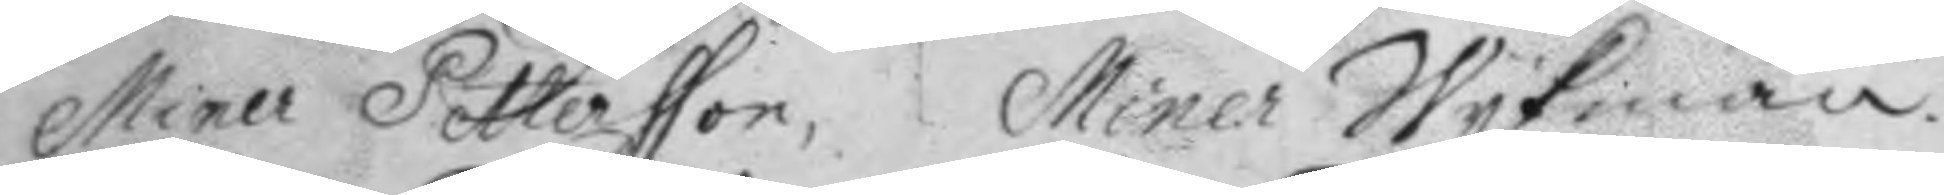Miner Pettersson, Miner Wykman.
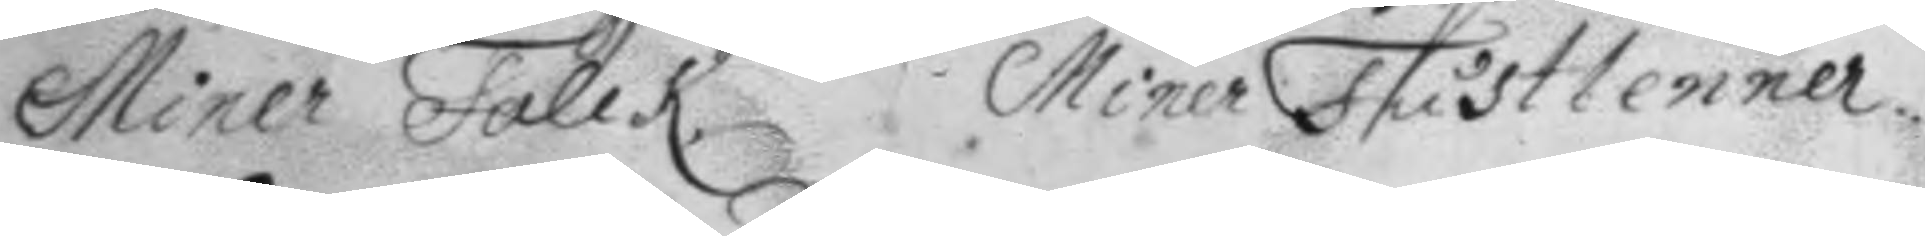Miner Falck, Miner Fustlenner.
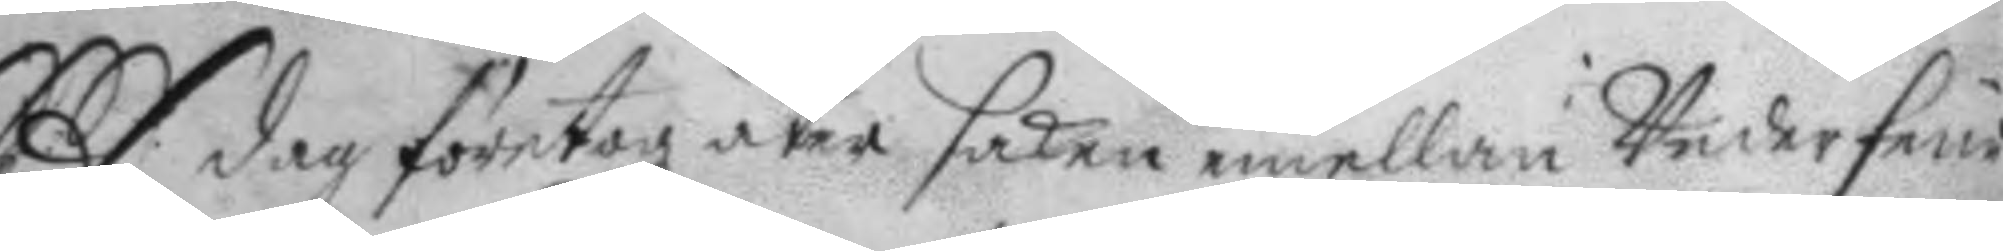S. dag företogz åter saken emellan Underfeur¬
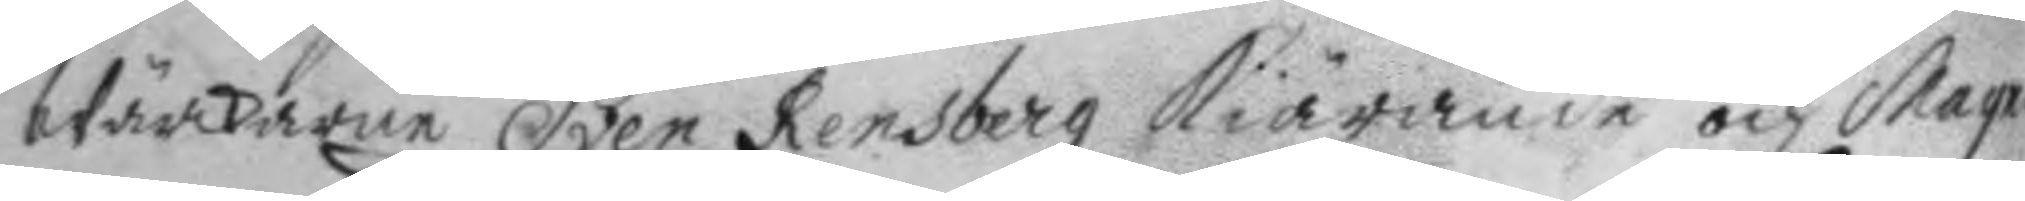Wärkaren Sven Rensberg kiärande och Magnus
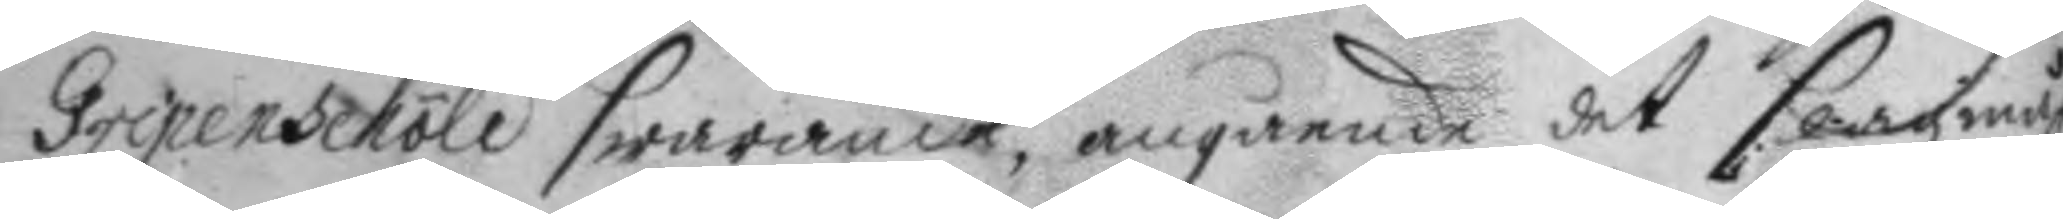Gripenschöld swarande, angående det slagsmåhl
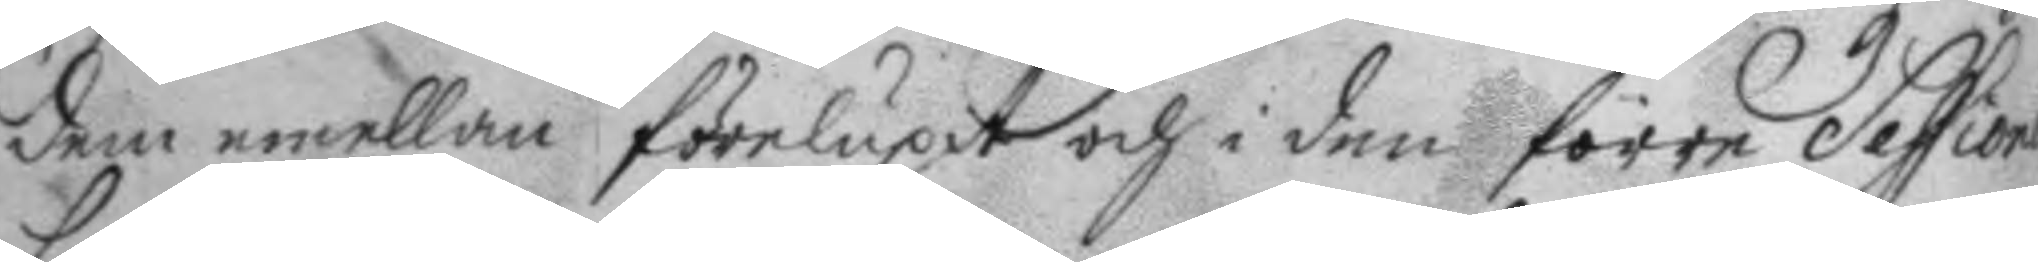dem emellan förelupit och i den förre Session
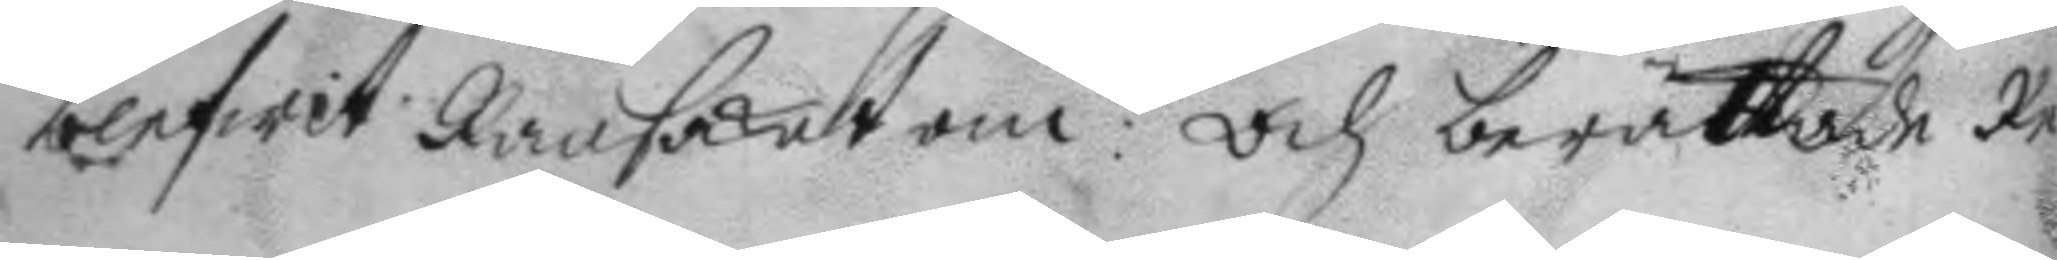blefwit Ransakat om: Och berättade Re¬
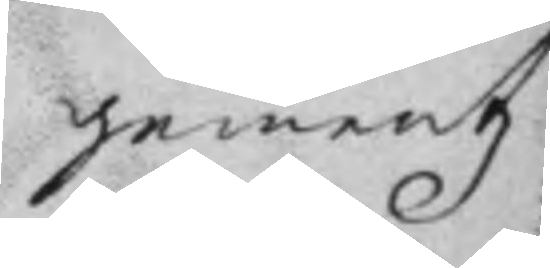gementz
